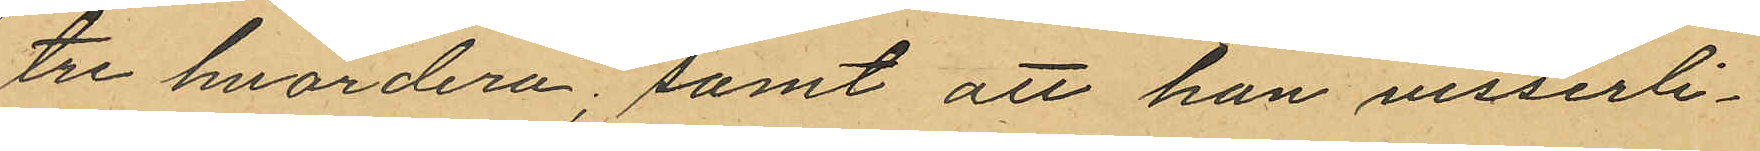tre hvardera; samt att han visserli¬
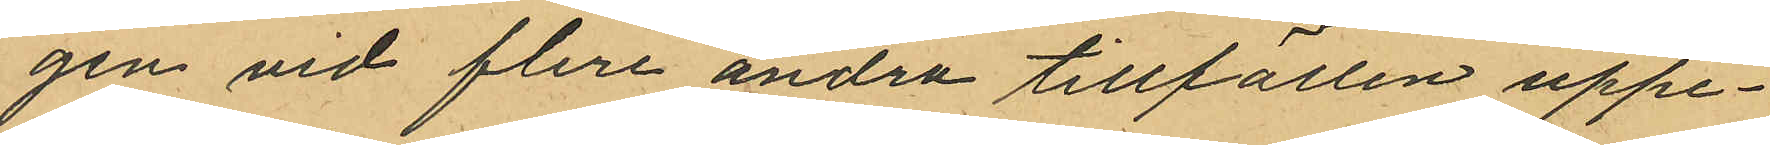gen vid flera andra tillfällen uppe¬
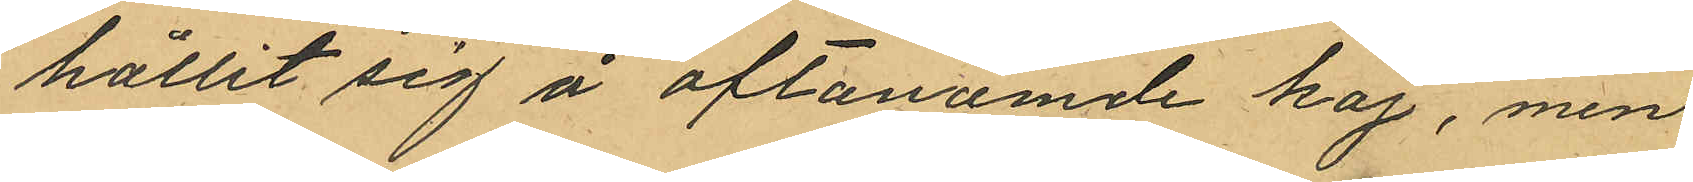hållit sig å oftanämde kaj, men
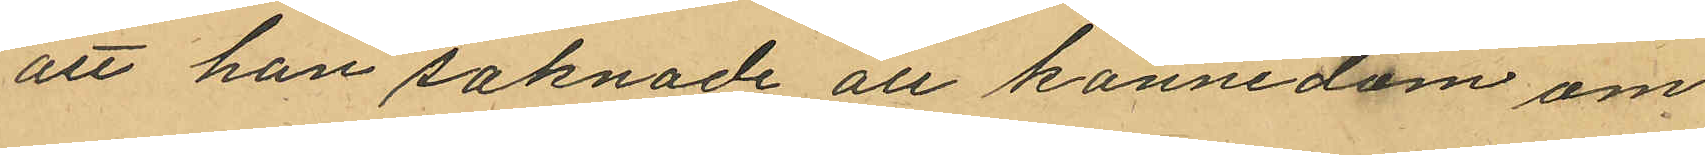att han saknade all känne dom om
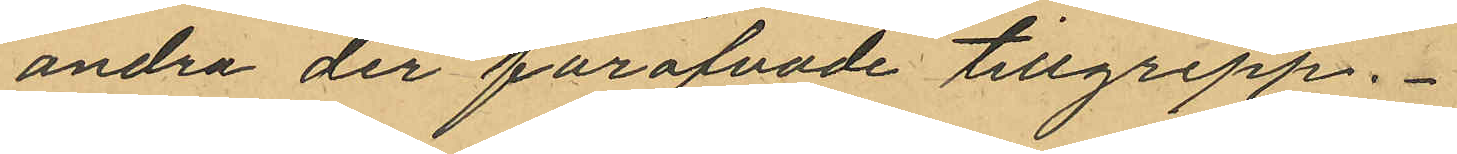andra der föröfvade tillgrepp.
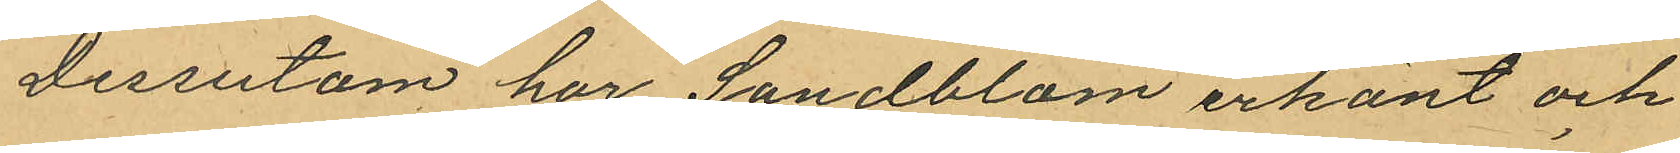Dessutom har Sandblom erkänt och
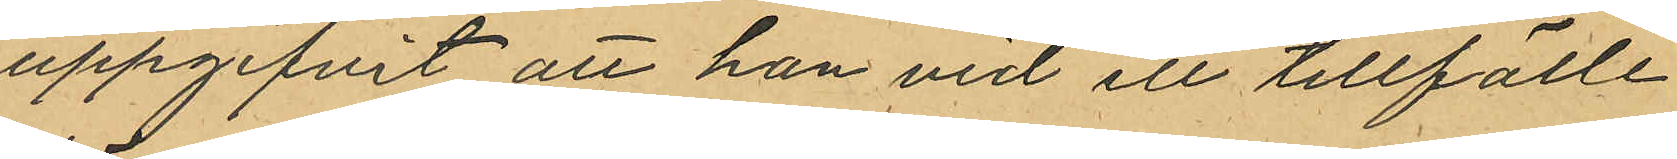uppgifvit att han vid ett tillfälle
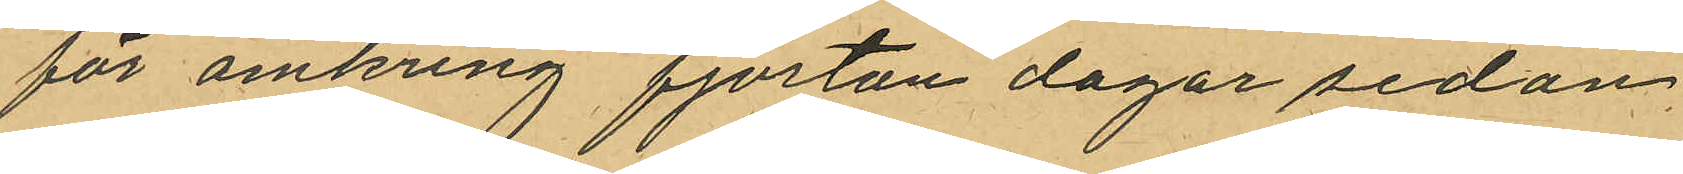för omkring fjorton dagar sedan
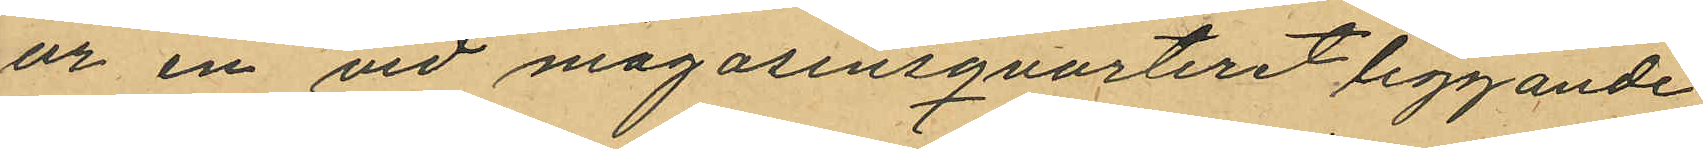ur en vid magasinsqvarteret liggande
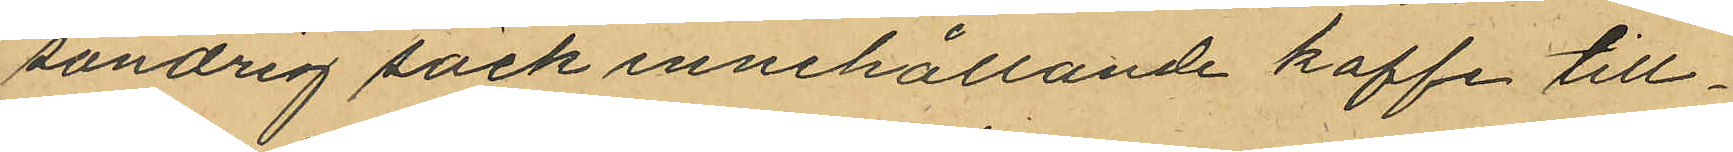söndrig säck innehållande kaffe till¬
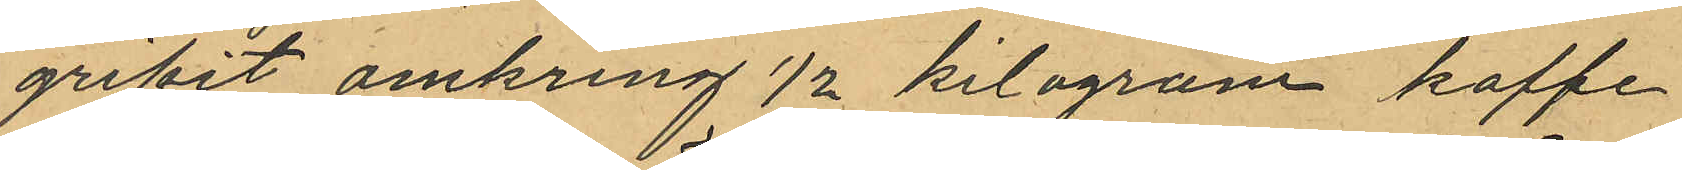gripit omkring ½ kilogram kaffe
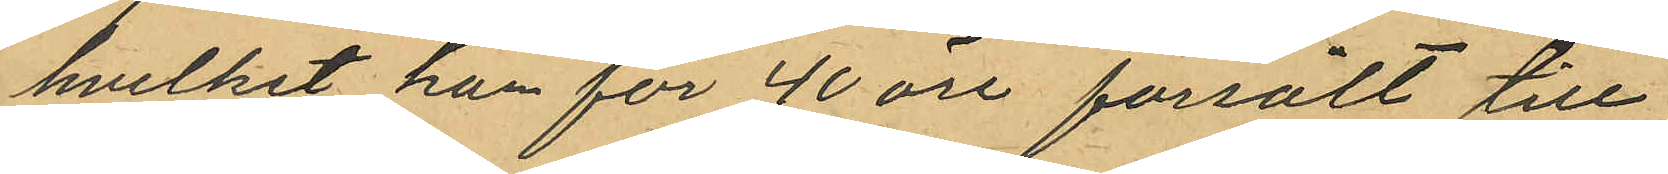hvilket han för 40 öre forsålt till
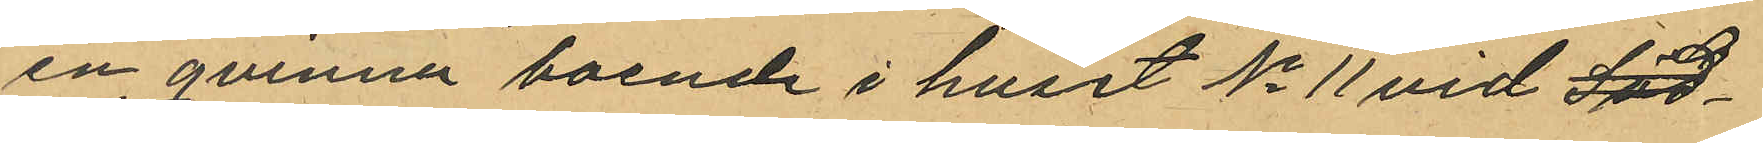en qvinna boende i huset No 11 vid Löd¬
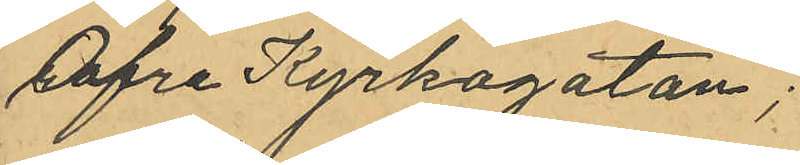Öfre Kyrkogatan;
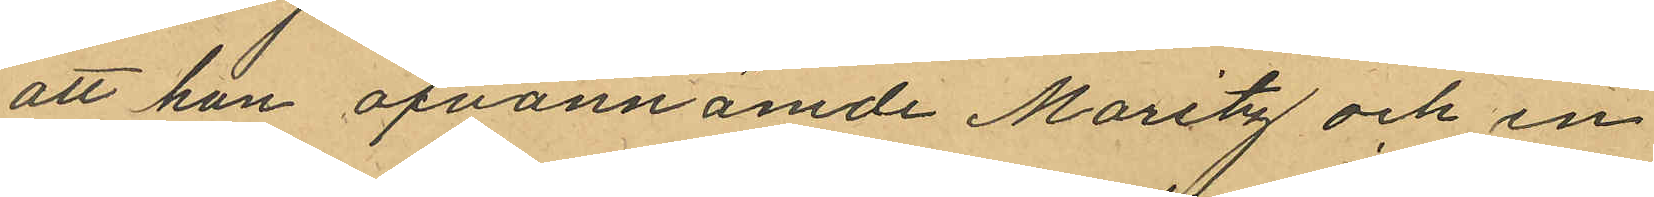att han ofvannämde Maritz och en
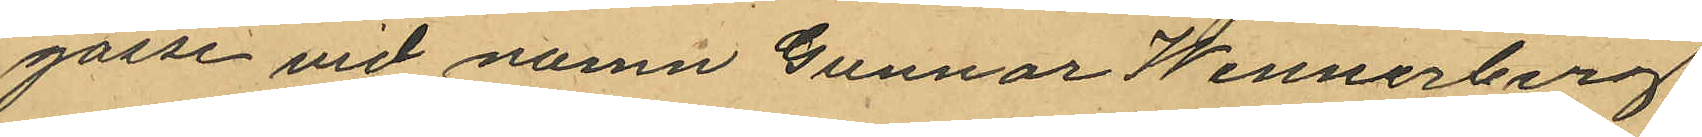gosse vid namn Gunnar Wennerberg
